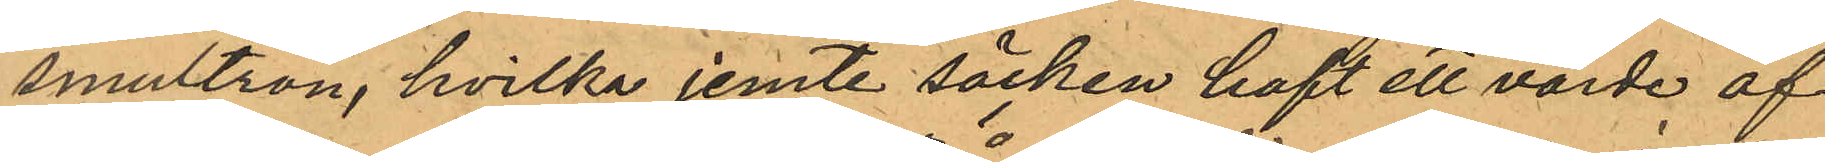smultron, hvilka jemte säcken haft ett värde af
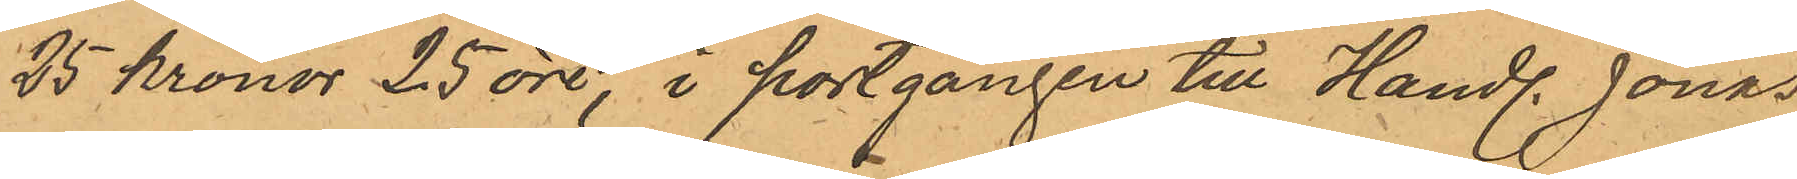25 kronor 25 öre, i portgången till Handl. Jonas
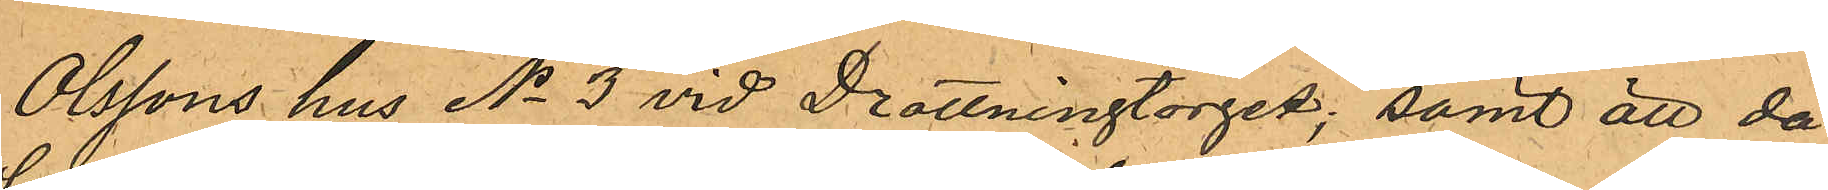Olssons hus No 3 vid Drottningtorget; samt att då
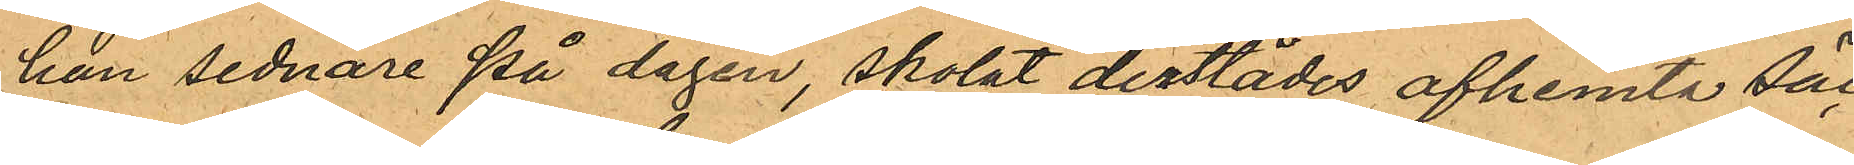han sednare på dagen, skolat derstädes afhemta säl¬
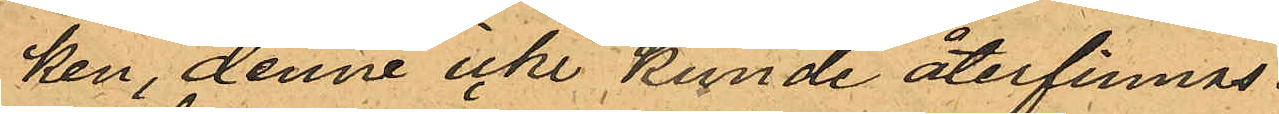ken, denne icke kunde återfinnas.
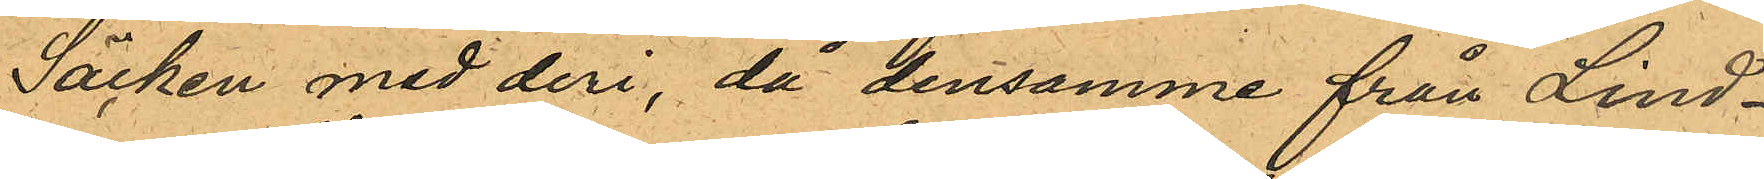Säcken med deri, då densamme från Lind¬
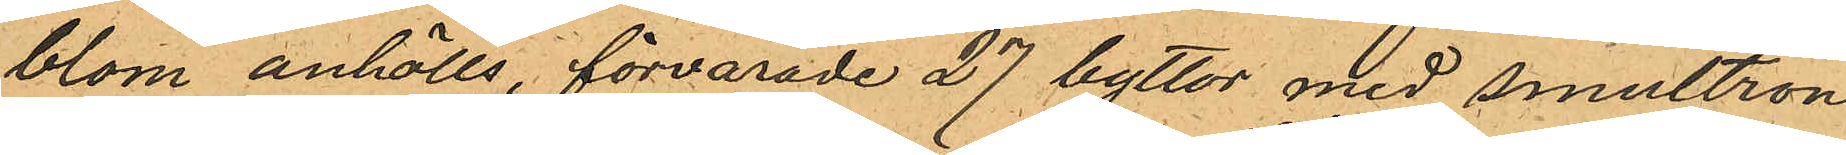blom anhölls, förvarade 27 byttor med smultron
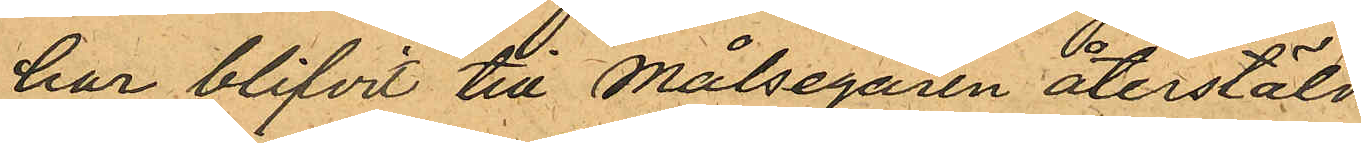har blifvit till Målsegaren återstäld.
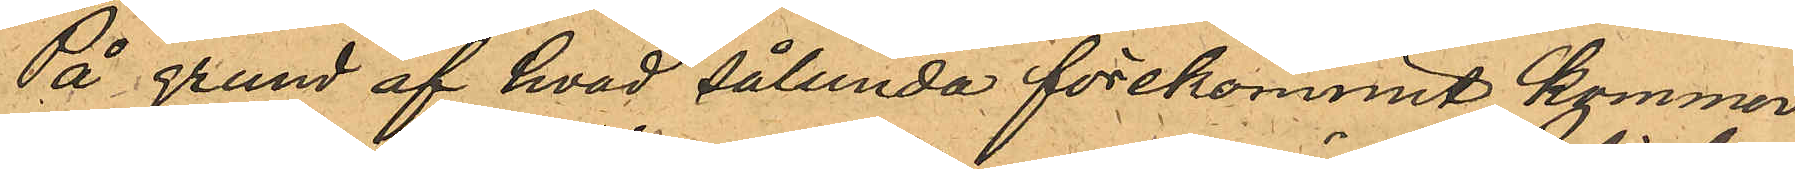På grund af hvad sålunda förekommit kommer
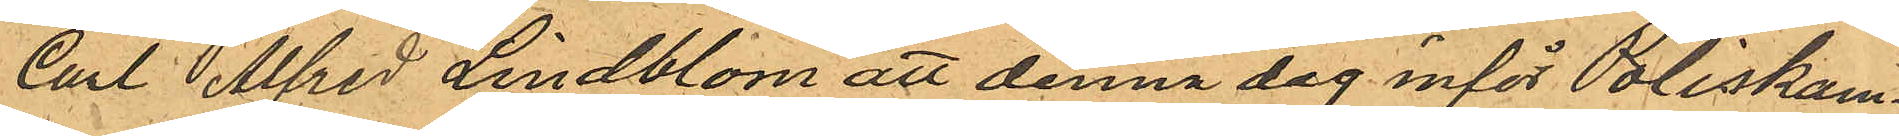Carl Alfred Lindblom att denna dag inför Poliskam¬
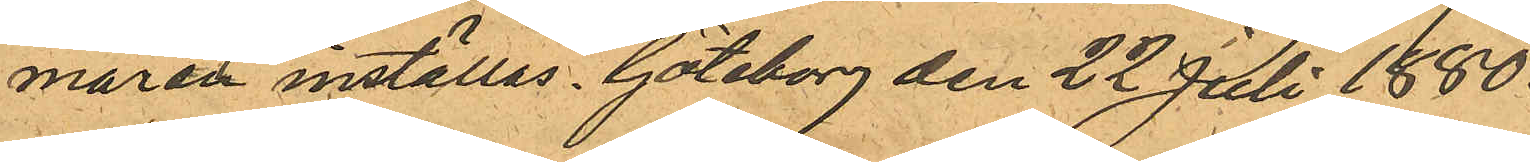maran inställas. Göteborg den 22 Juli 1880.
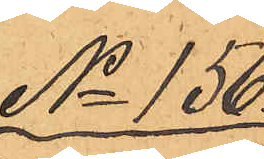No 156.
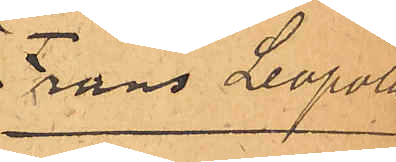Frans Leopold
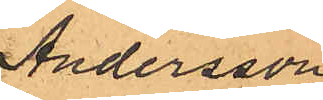Andersson
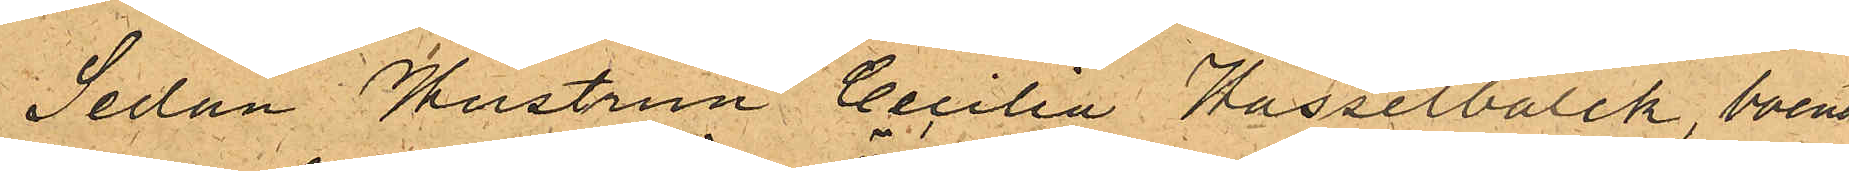Sedan Hustrun Cecilia Hasselbalck, boende
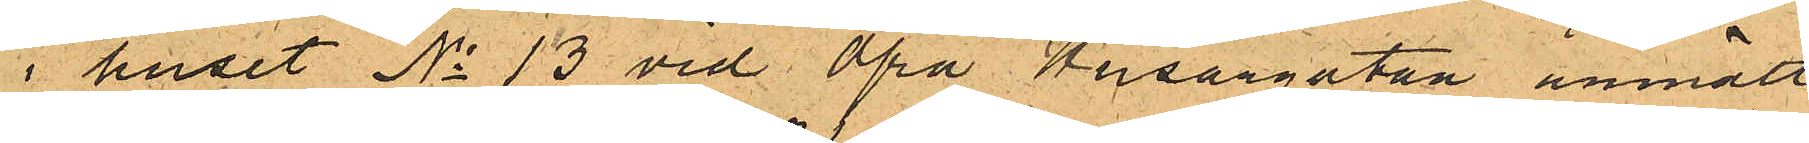i huset No 13 vid Öfra Husargatan anmält,
